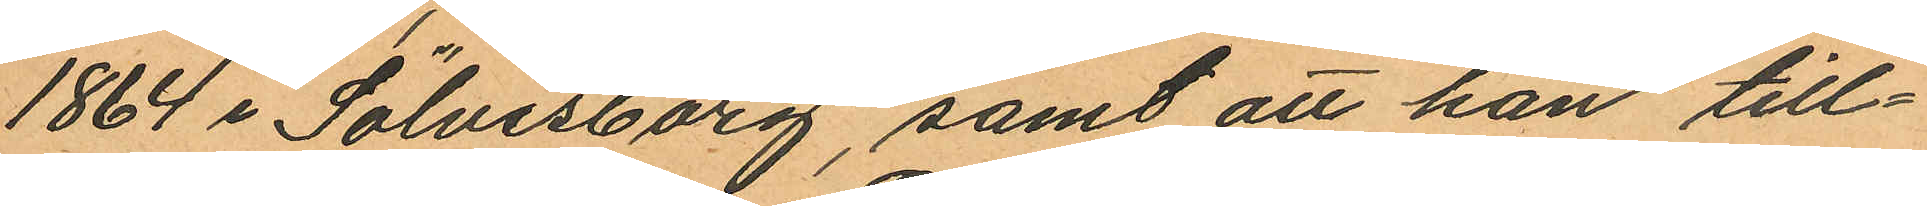1864 i Sölvesborg, samt att han till¬
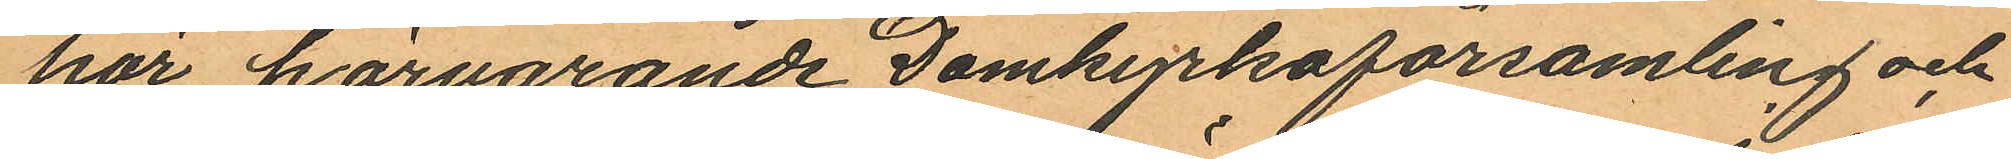hör härvarande Domkyrkoförsamling och
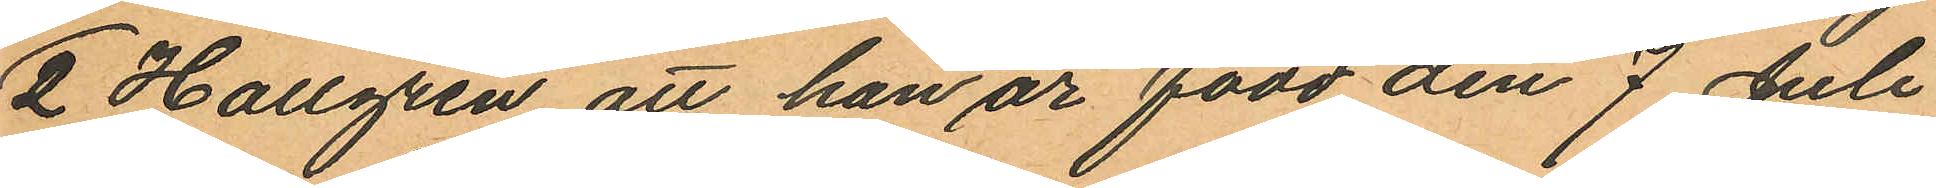2 Hallgren att han är född den 7 Juli
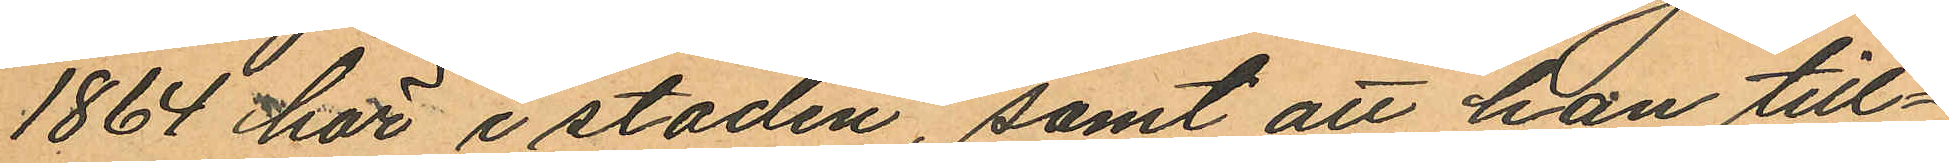1864 här i staden, samt att han till¬
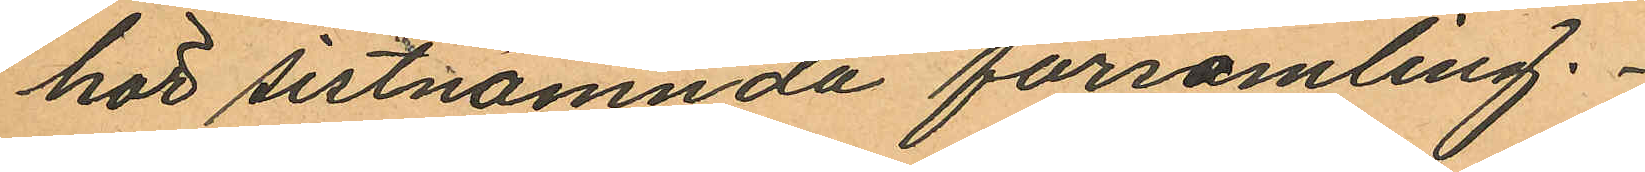hör sistnämnda församling.
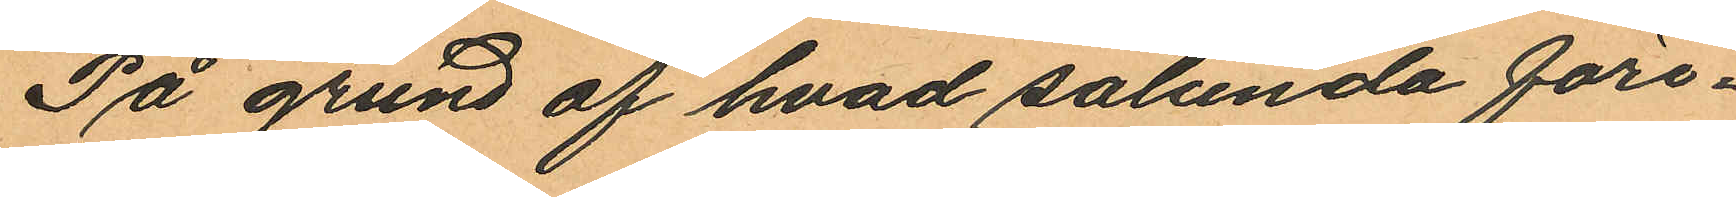På grund af hvad sålunda före¬
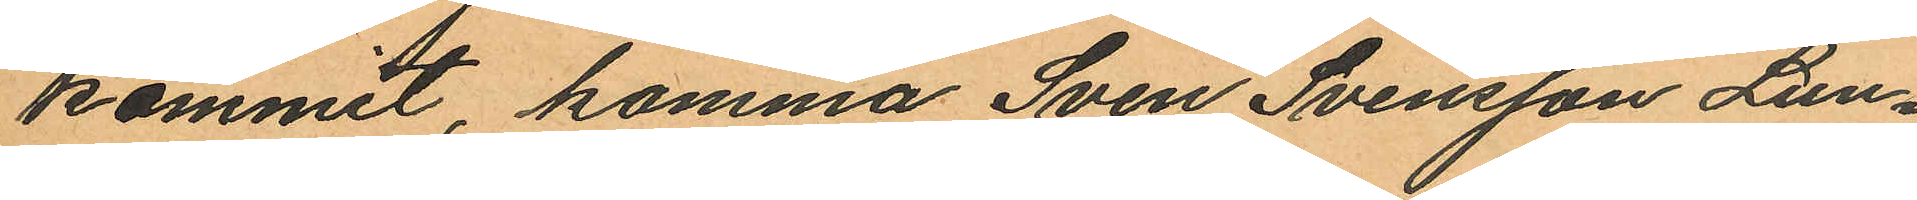kommit komma Sven Svensson Lun¬
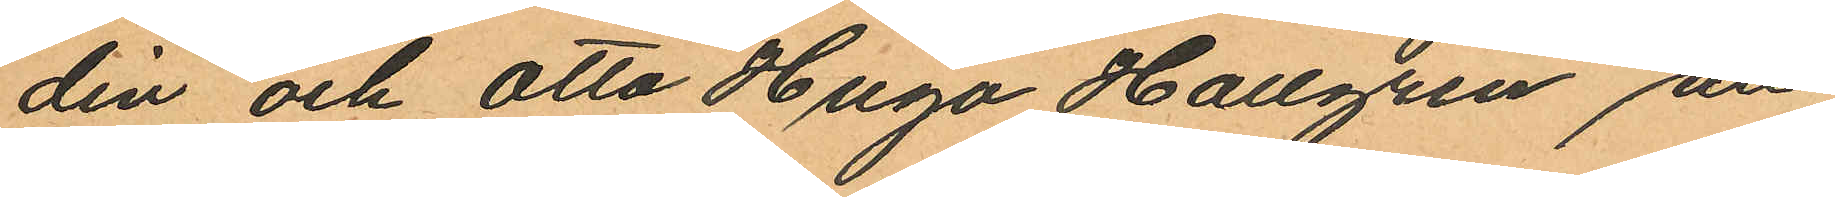din och Otto Hugo Hallgren att
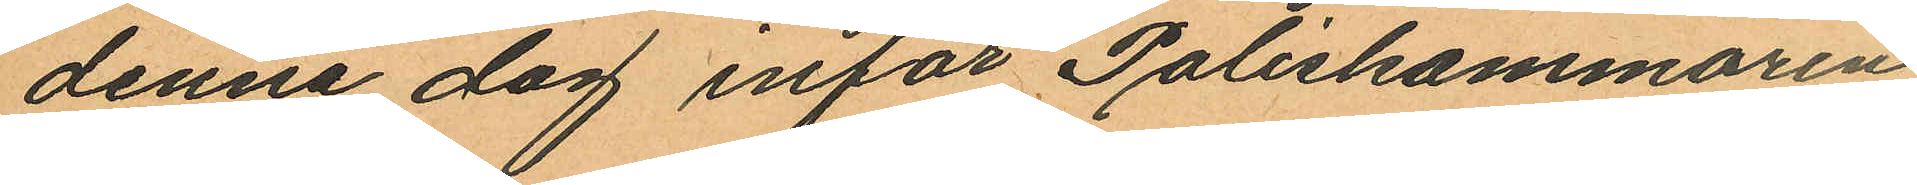denna dag inför Poliskammaren
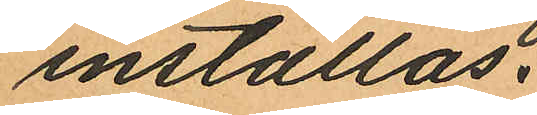inställas.
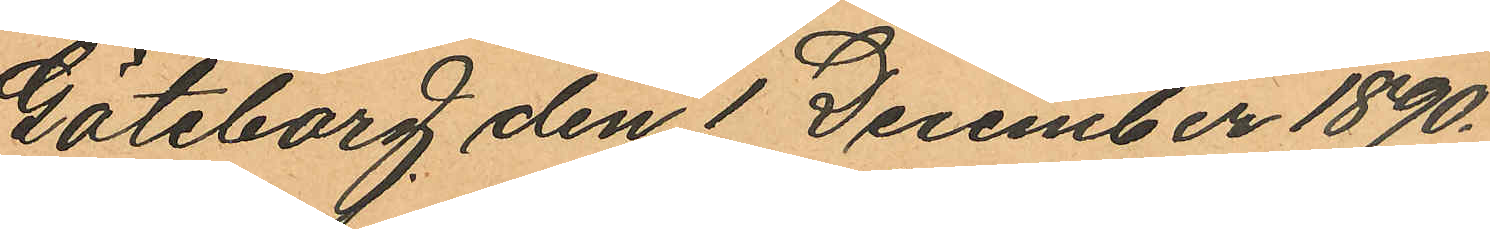Göteborg den 1 December 1890.
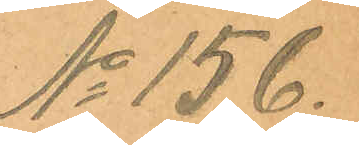No 156.
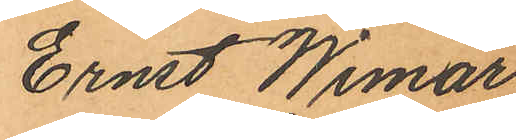Ernst Wimar
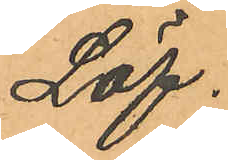Löf.
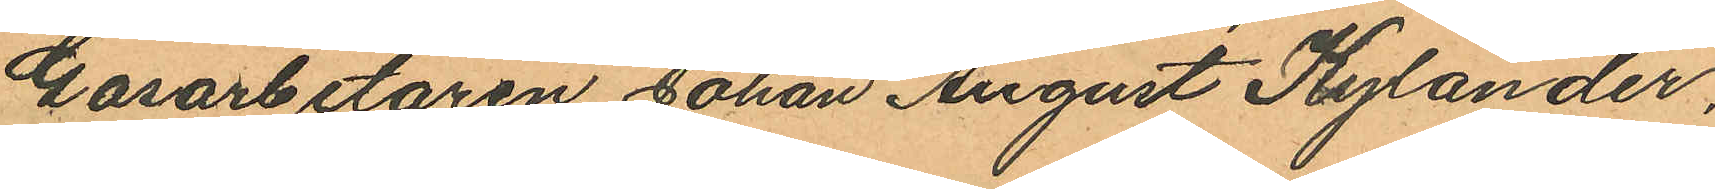Gasarbetaren Johan August Kylander,
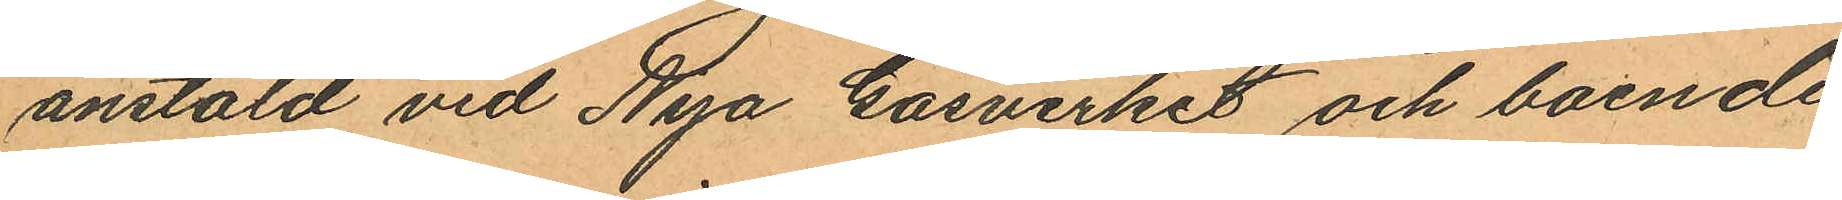anstäld vid Nya Gasverket och boende
